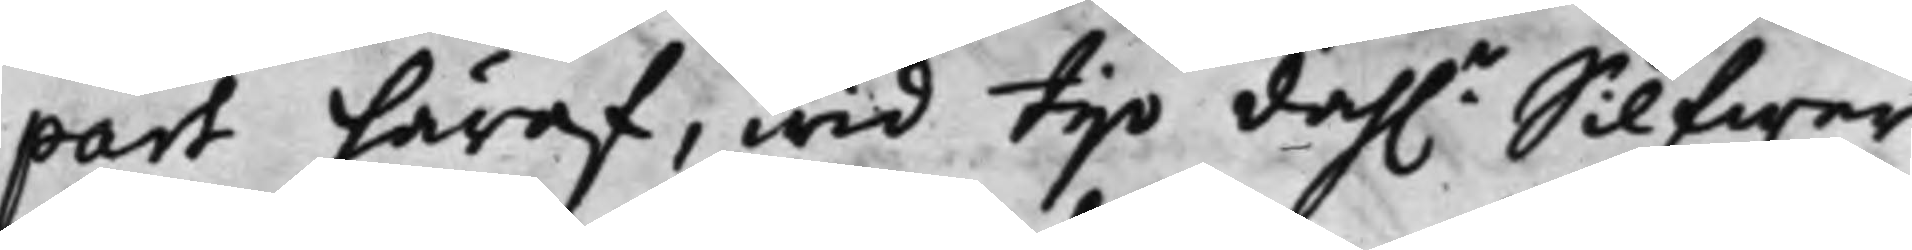part häraf, wid tijo dah.r Silfwer¬
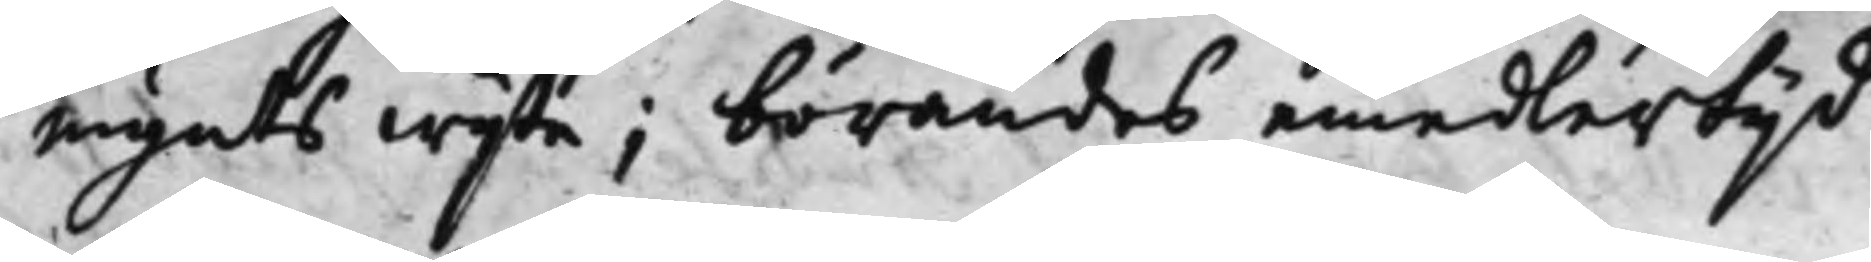mynts wijte; börandes emedlertijd
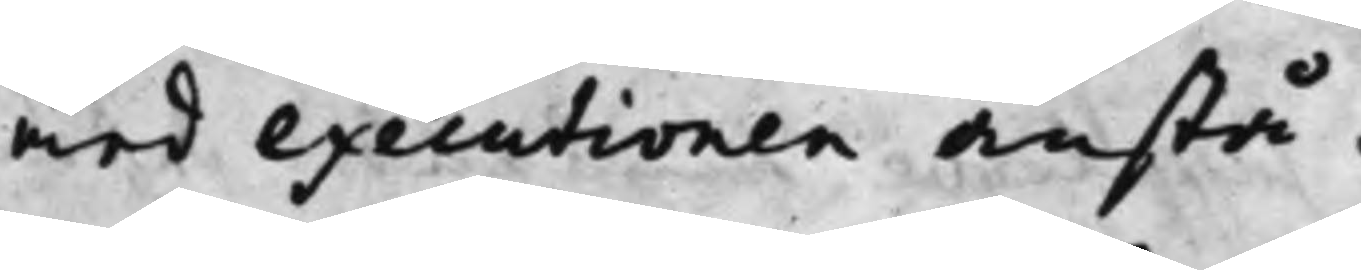med executionen anstå.
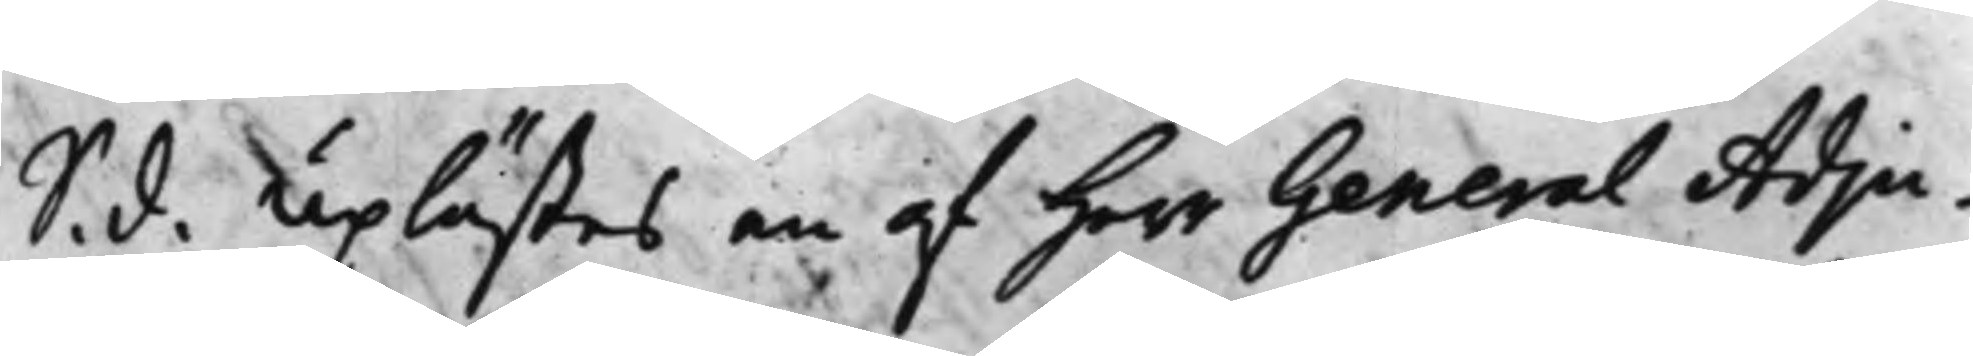S. d. Uplästes en af Herr General Adju¬
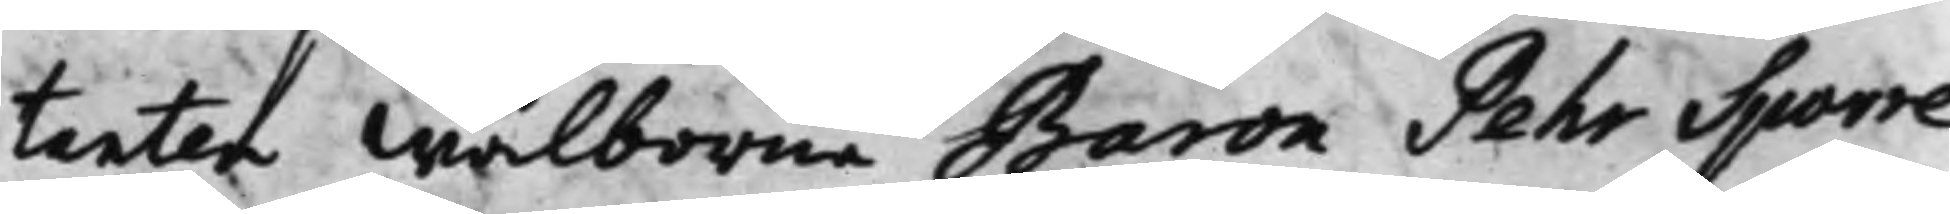tanten Wälborne Baron Pehr Sporre
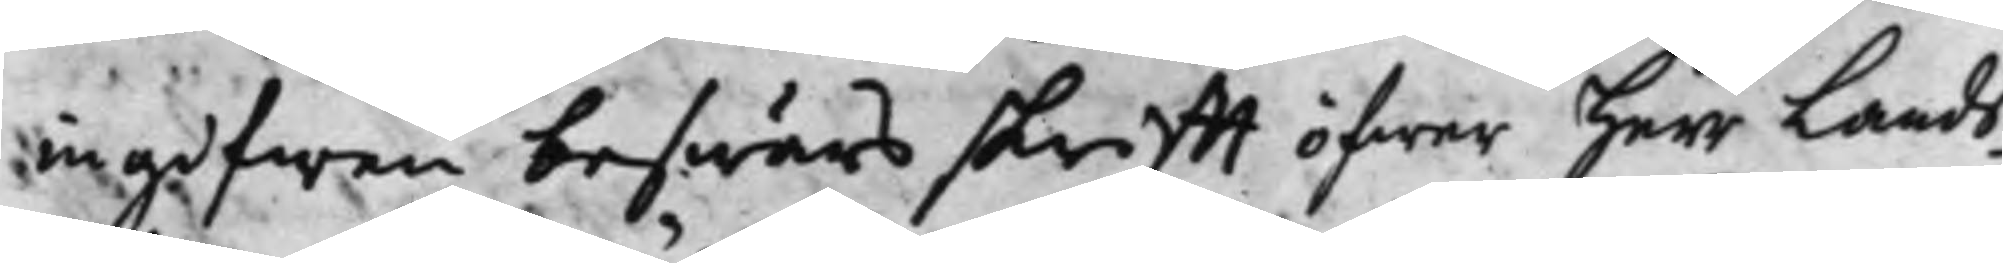ingifwen beswärs skrifft öfwer Herr Lands¬
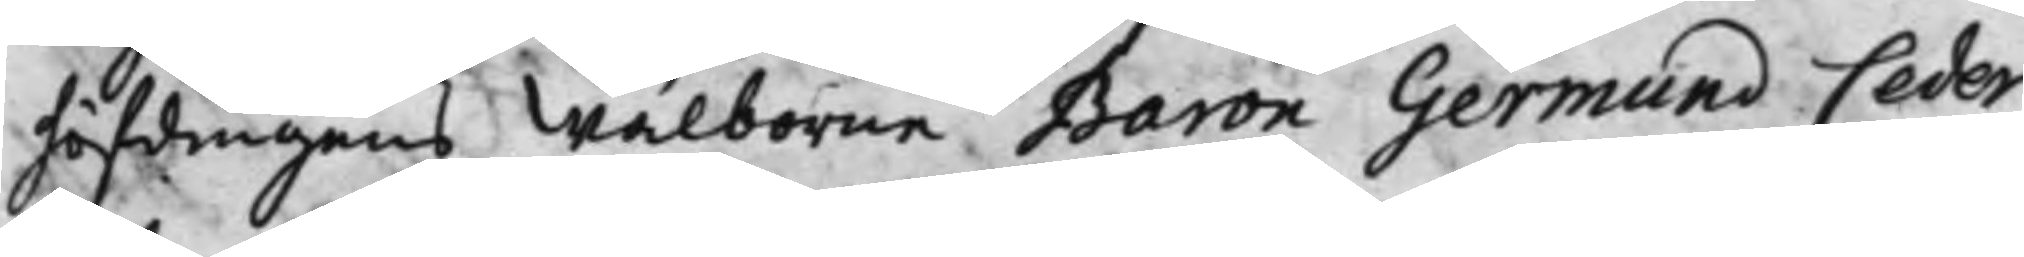höfdingens Wälborne Baron Germund Ceder¬
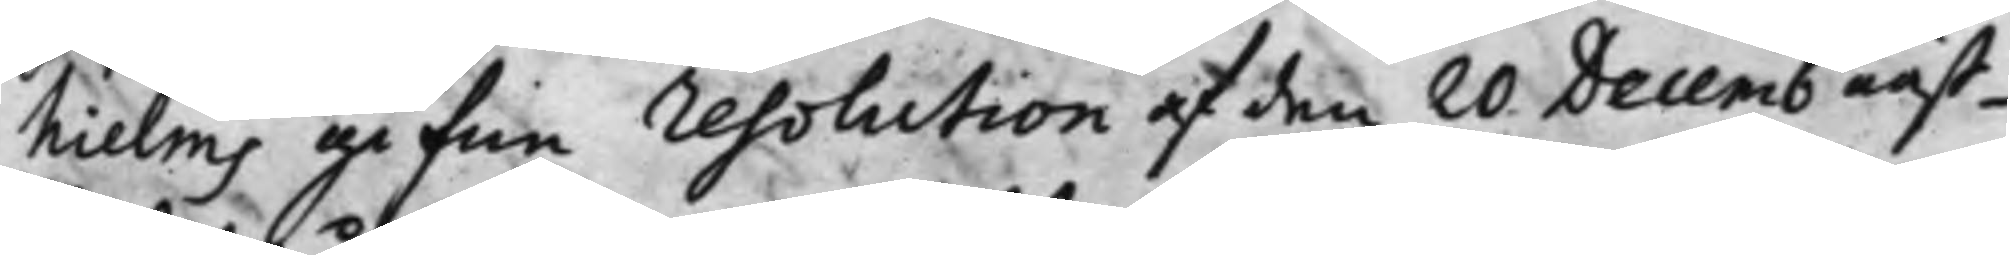hielms gifne resolution af den 20 Decemb näst¬
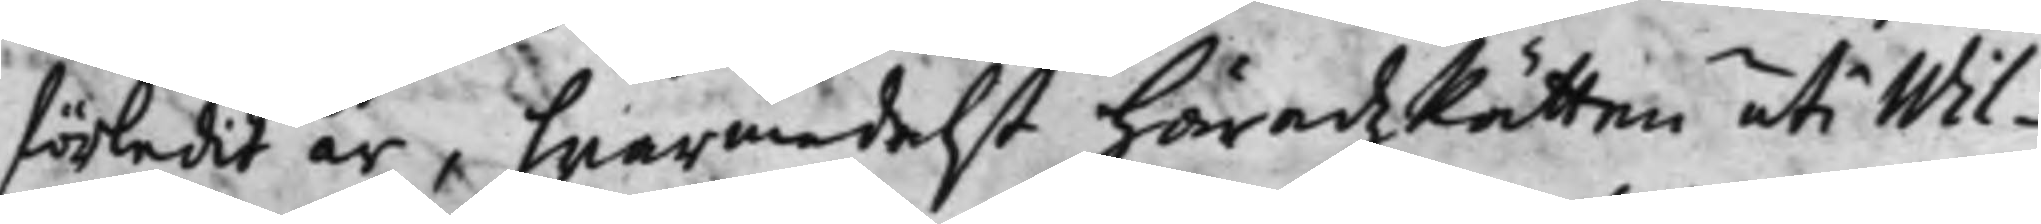förledit år, hwarmedelst Häradz Rätten uti Wil¬
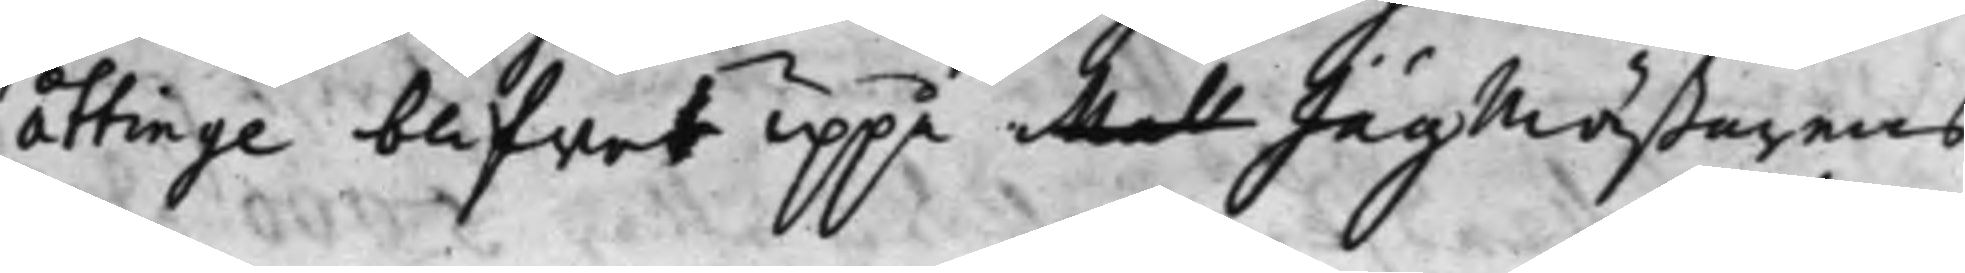åttinge blifwit uppå Mal Jägmästarens
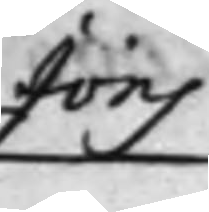Jöns
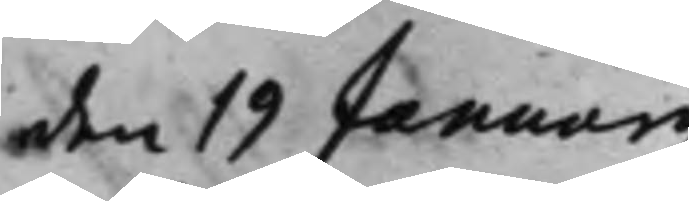den 19 Januarij
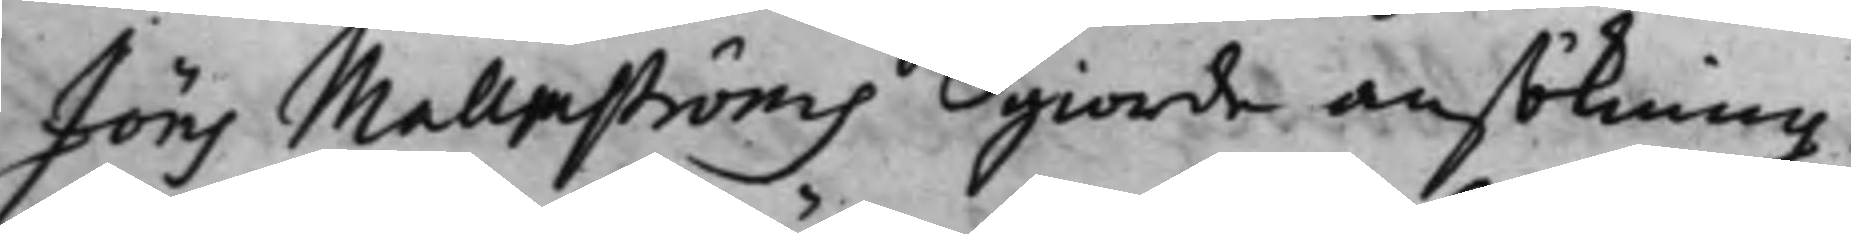Jöns Mallmströms giorde ansökning,
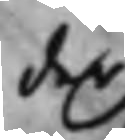der
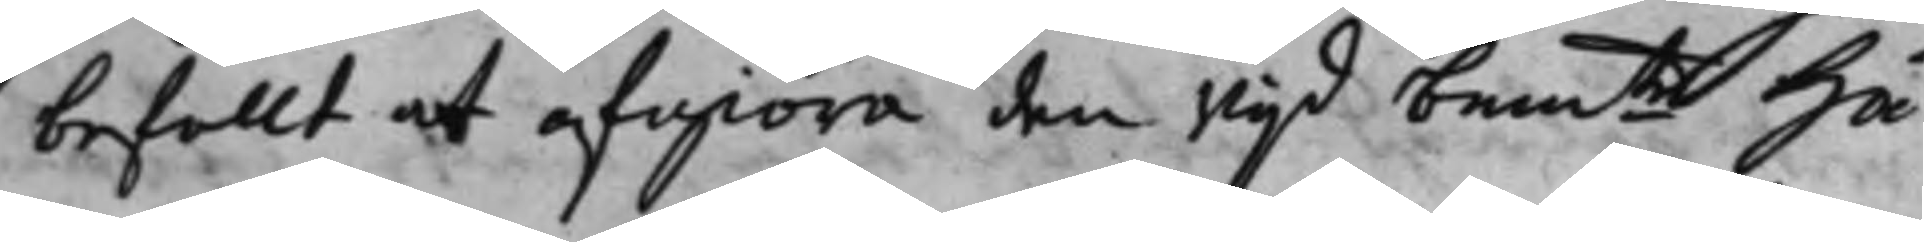befallt at afgiöra den wijd bem.te Hä¬
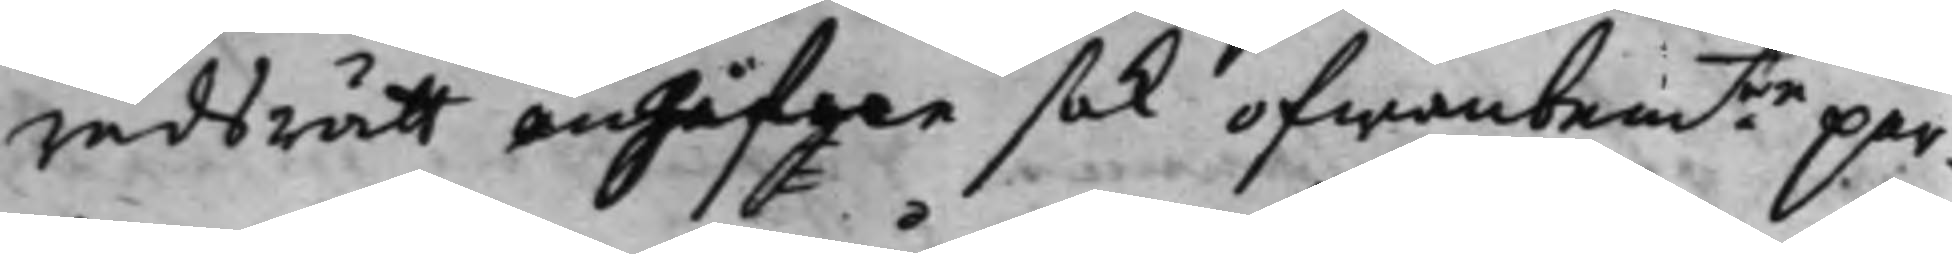radsrätt angifgne sak ofwanbem.te par¬
